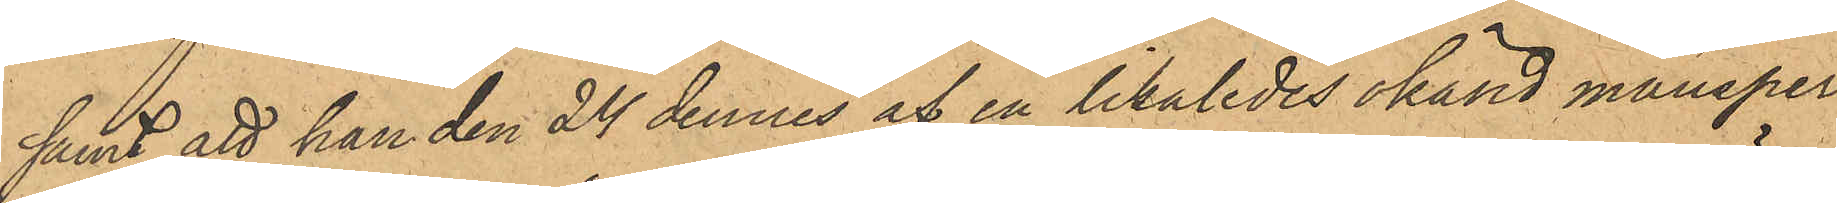samt att han den 24 dennes af en likaledes okänd mansper¬
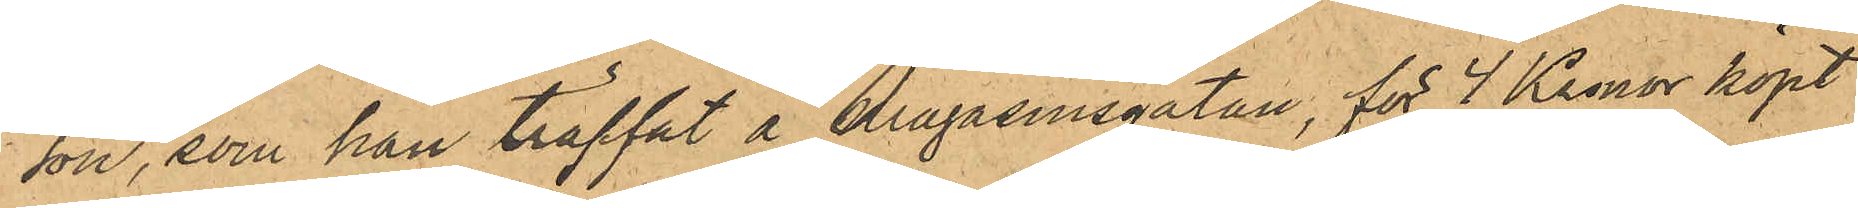son, som han träffat å Magasinsgatan, för 4 Kronor köpt
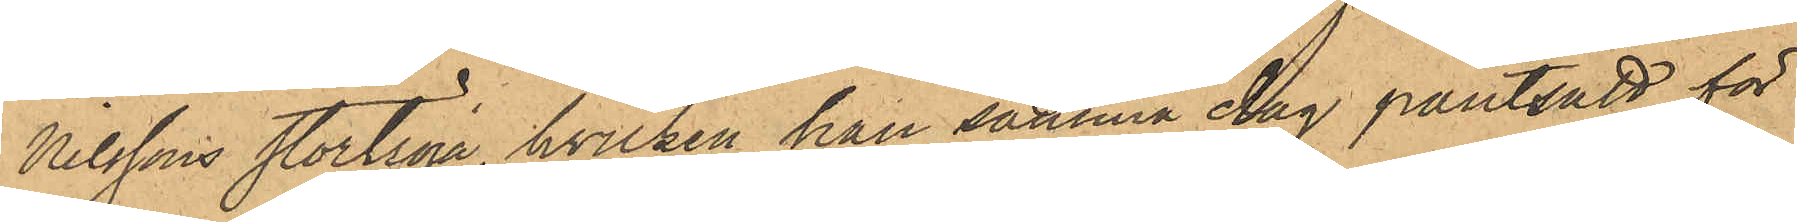Nilssons stortröja, hvilken han samma dag pantsatt för
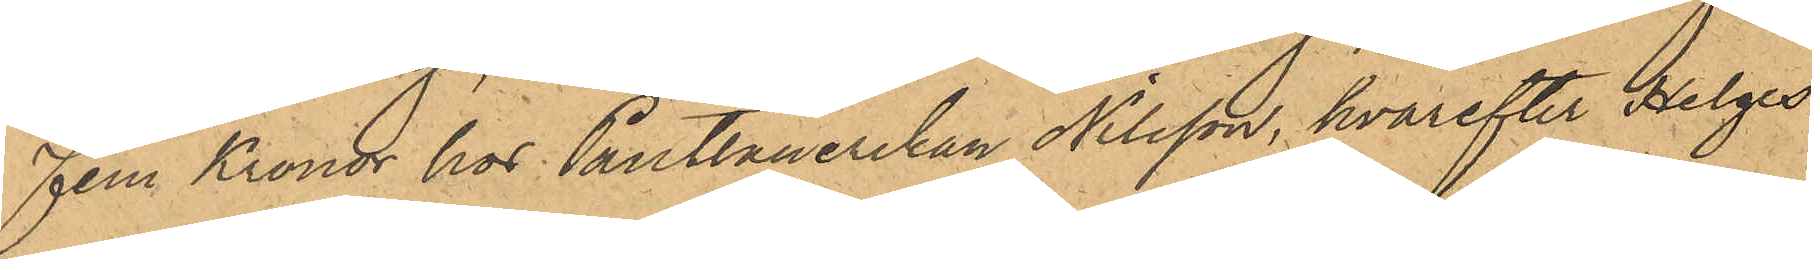Fem Kronor hos Pantlånerskan Nilsson, hvarefter Helges¬
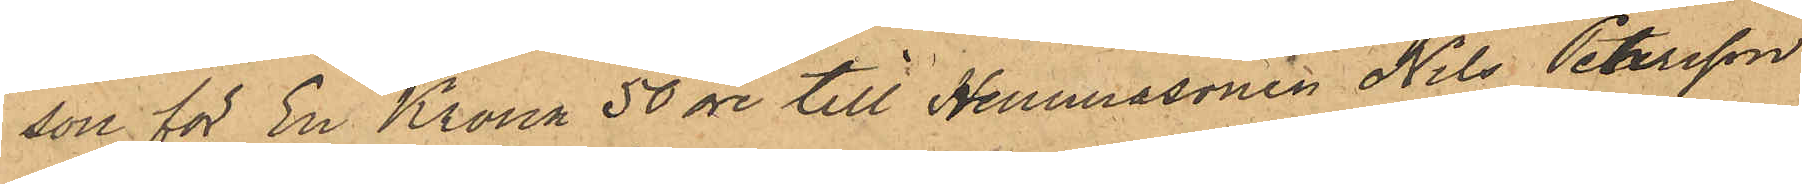son för En Krona 50 öre till Hemmasonen Nils Petersson
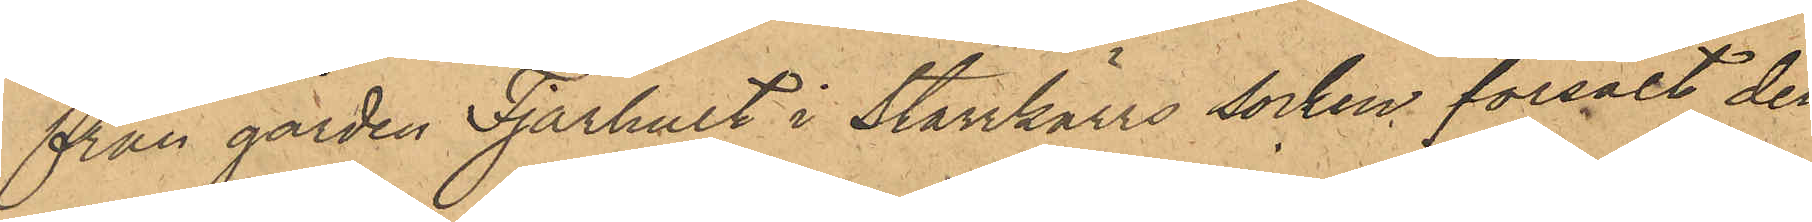från gården Fjärhult i Starrkärrs socken försålt den
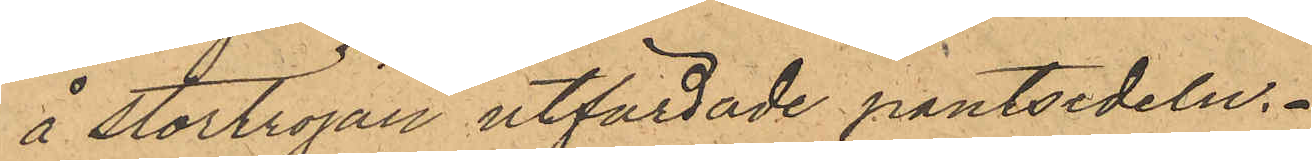å stortröjan utfärdade pantsedeln.
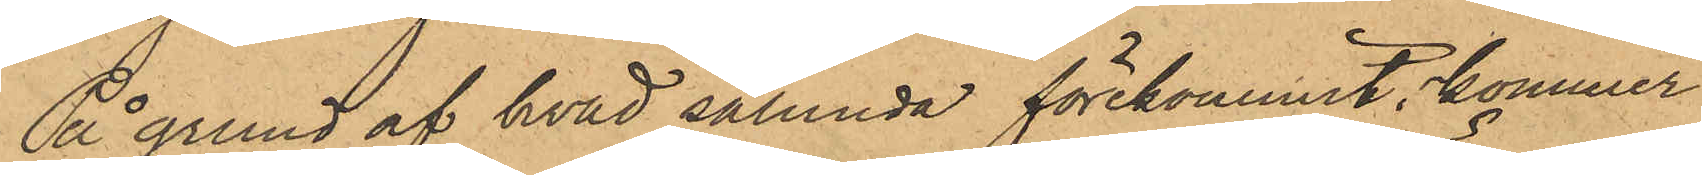På grund af hvad sålunda förekommit, kommer
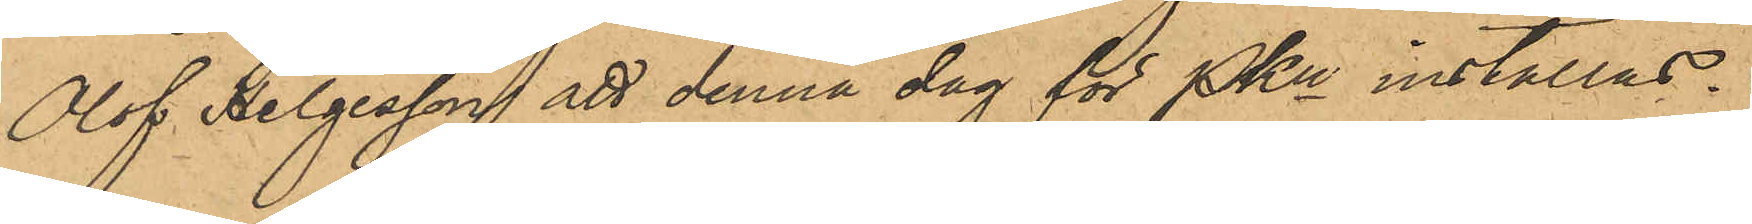Olof Helgesson att denna dag för PKn inställas.
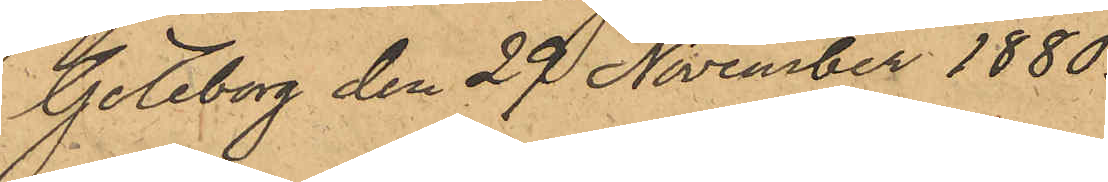Göteborg den 29 November 1880.
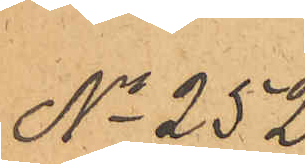No 252.
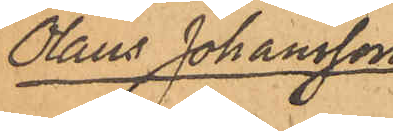Olaus Johansson
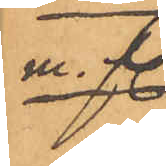m.fl.
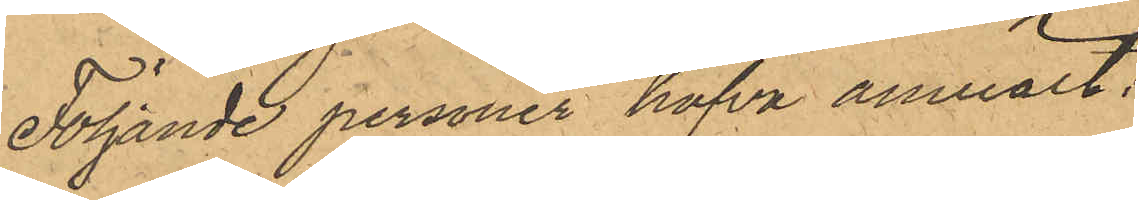Följande personer hafva anmält:
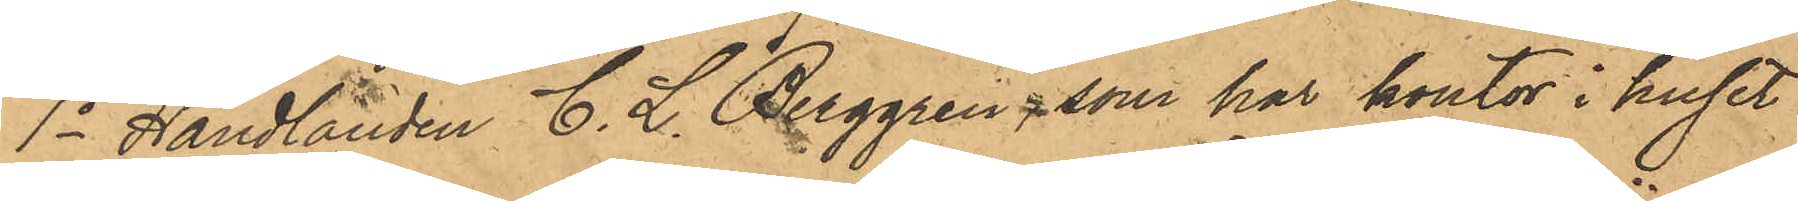1o Handlanden C. L. Berggren, som har kontor i huset
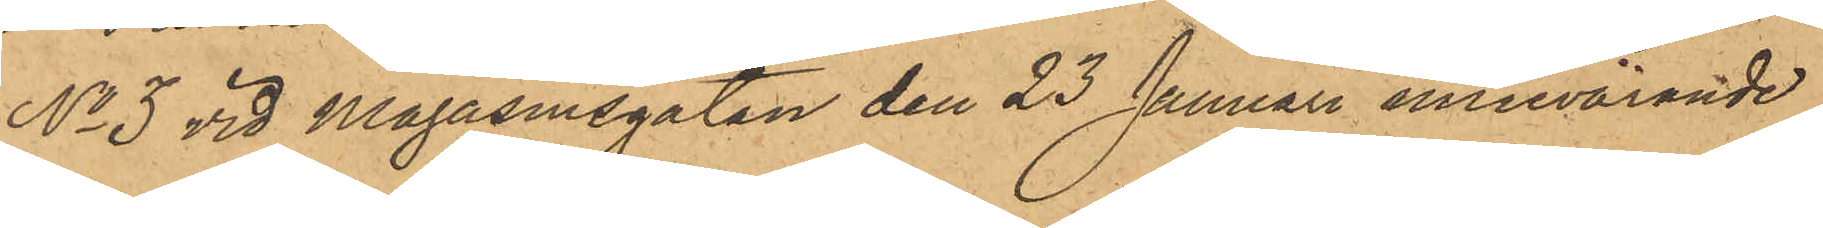No 3 vid Magasinsgatan den 23 Januari innevarande
